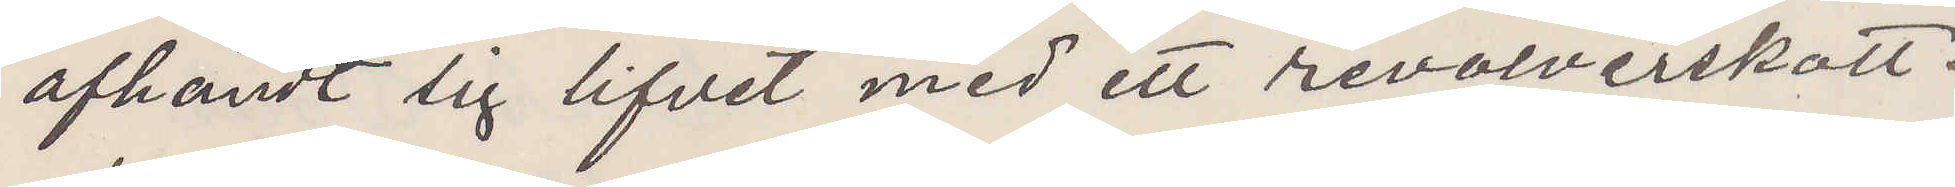afhändt sig lifvet med ett revolverskott.
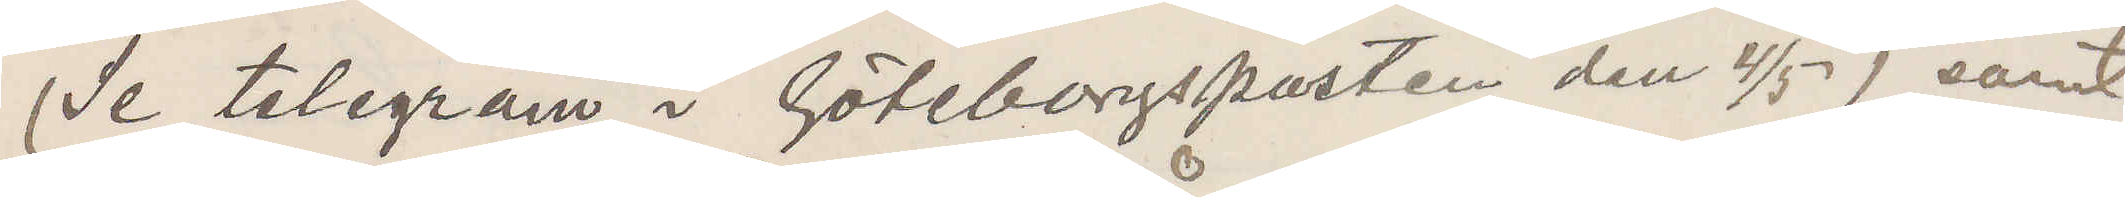(Se telegram i Göteborgsposten den 4/5) samt
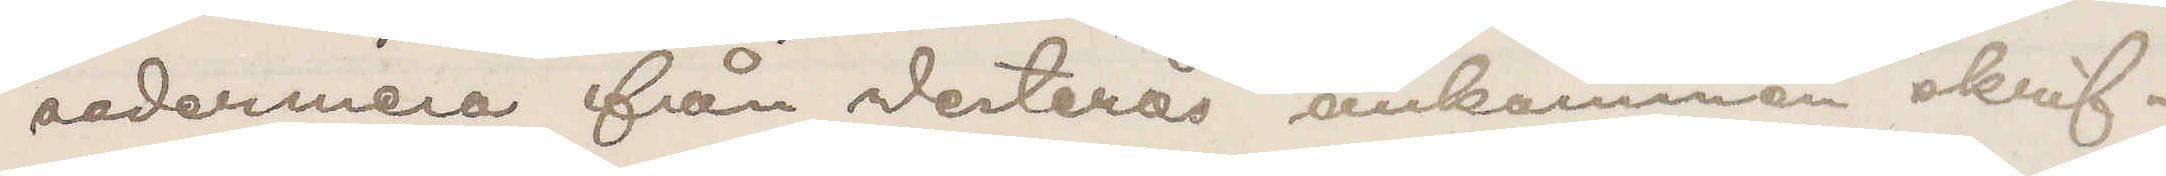sedermera från Westerås ankommen skrif¬
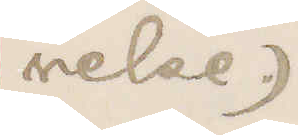velse.)
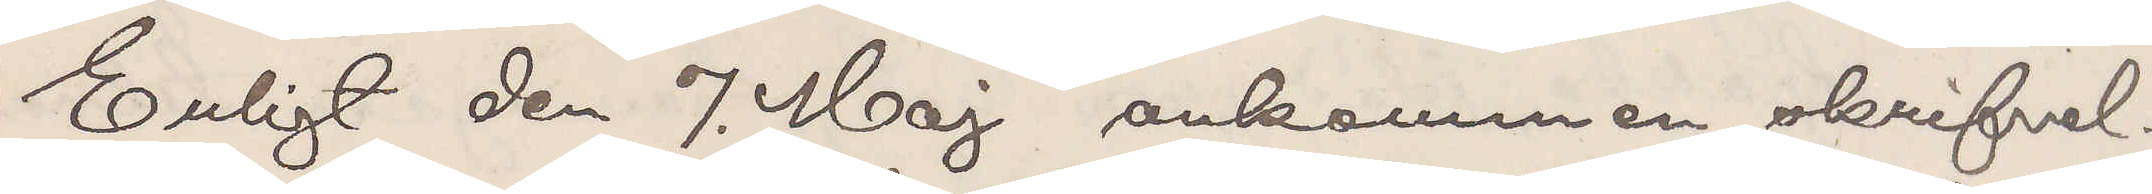Enligt den 7. Maj ankommen skrifvel¬
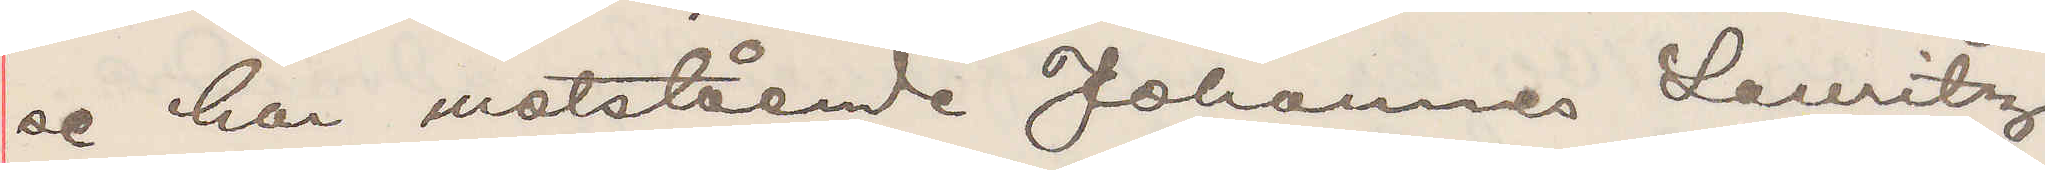se har motstående Johannes Lauritz
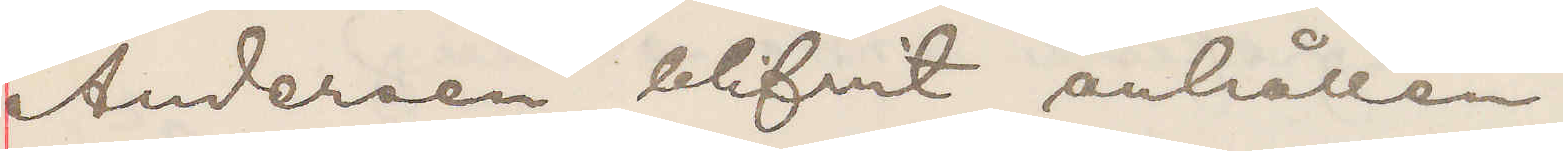Andersen blifvit anhållen.
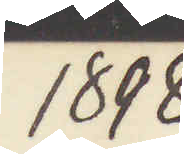1898
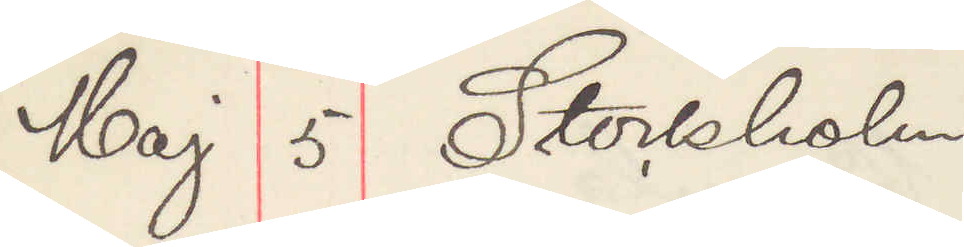Maj 5 Stockholm.
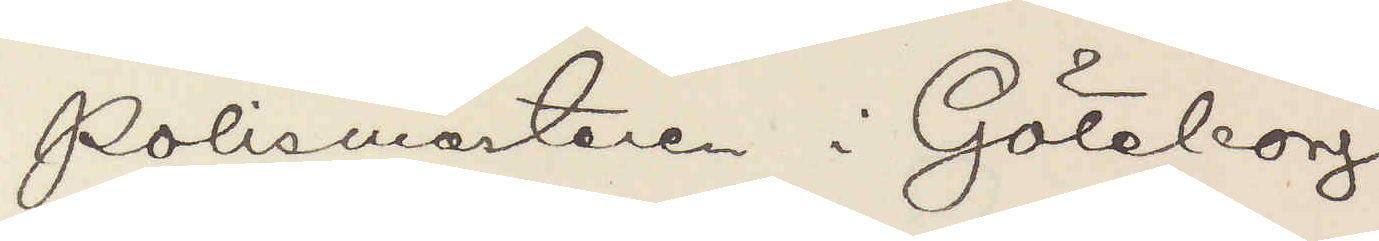Polismästaren Göteborg
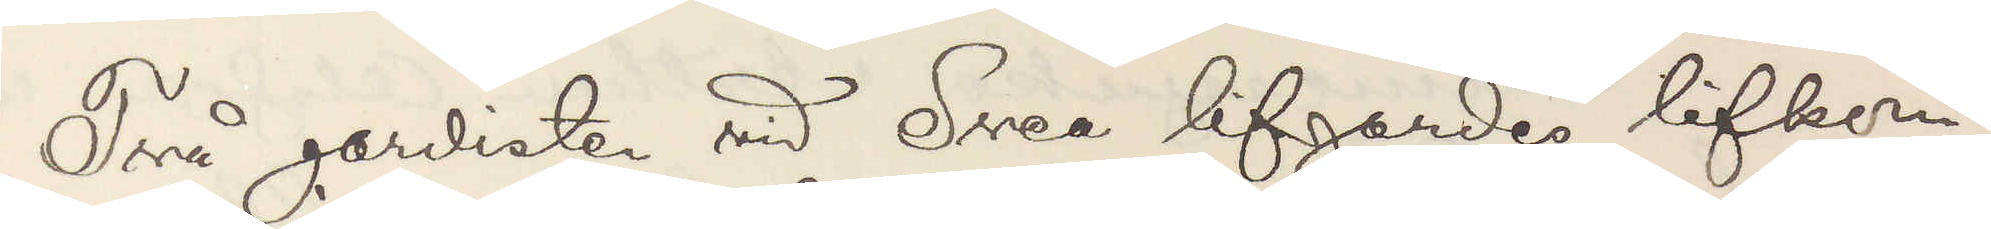Två gardister vid Svea lifgardes lifkom¬
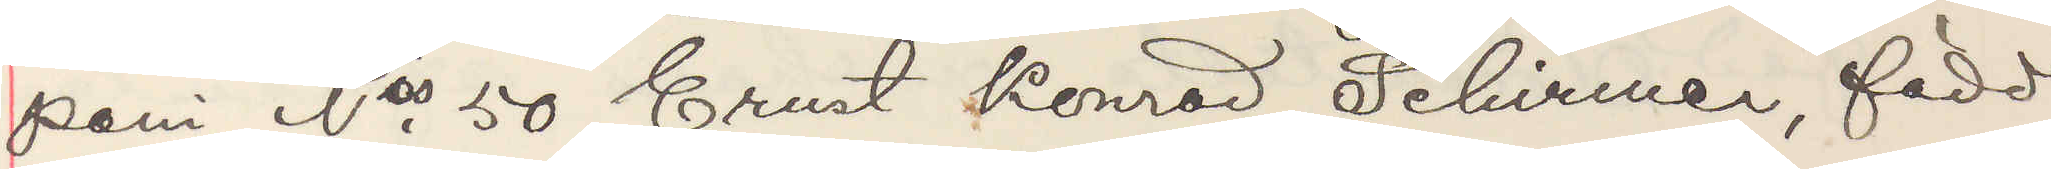pani Nris 50 Enst Konrad Schirmer, född
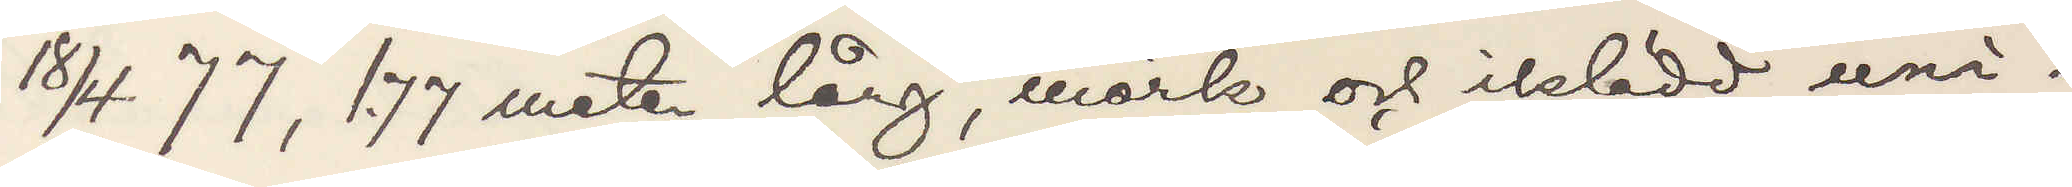18/4 77, 1,77 meter lång, mörk och iklädd uni¬
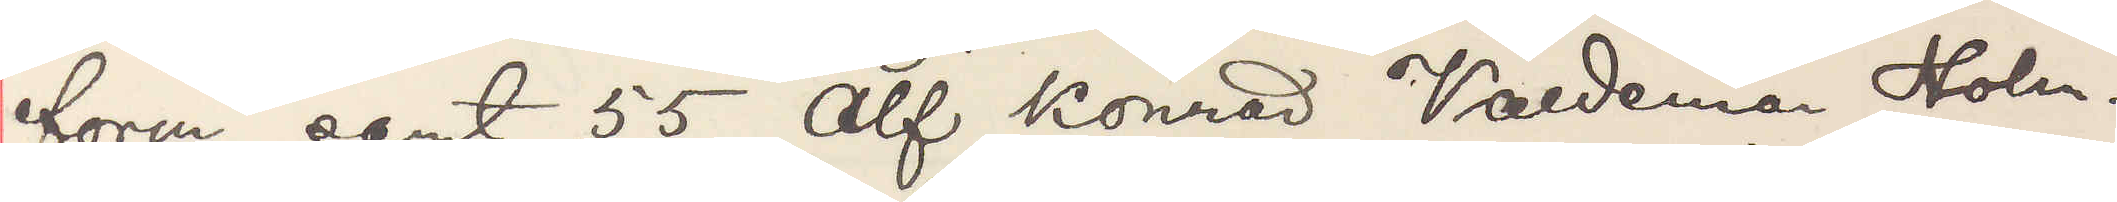form samt 55 Alf Konrad Valdemar Holm¬
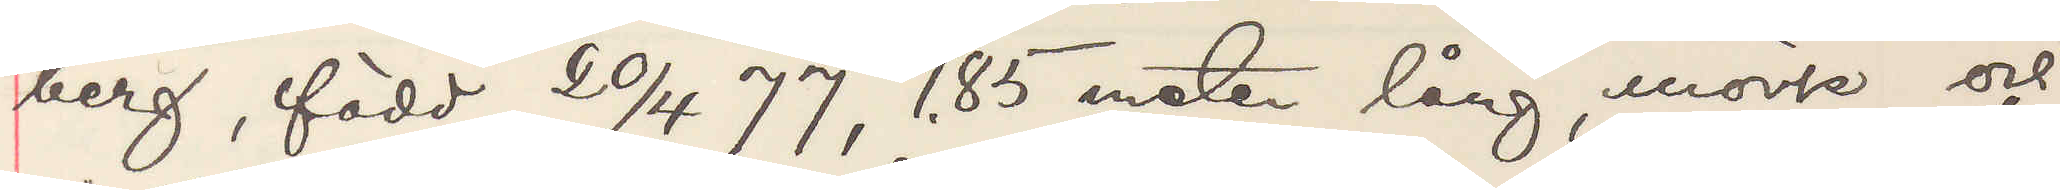berg, född 20/4 77, 1,85 meter lång, mörk och
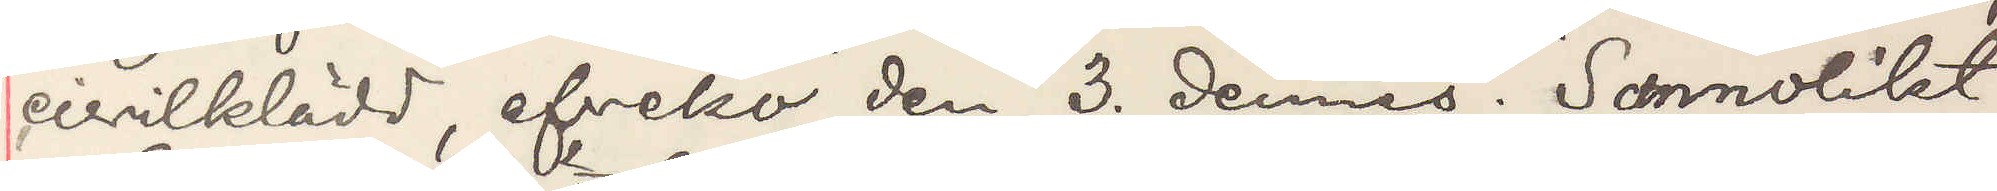civilklädd, afveko den 3. dennes Sannolikt
